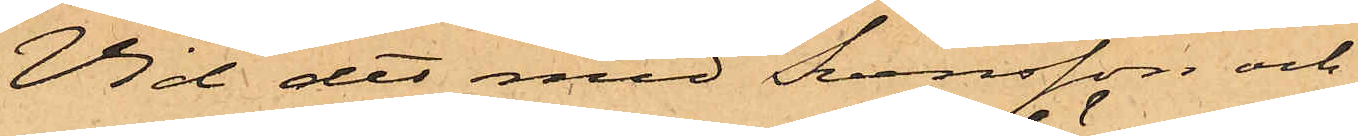Vid det med Svensson och
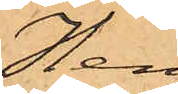Hen¬
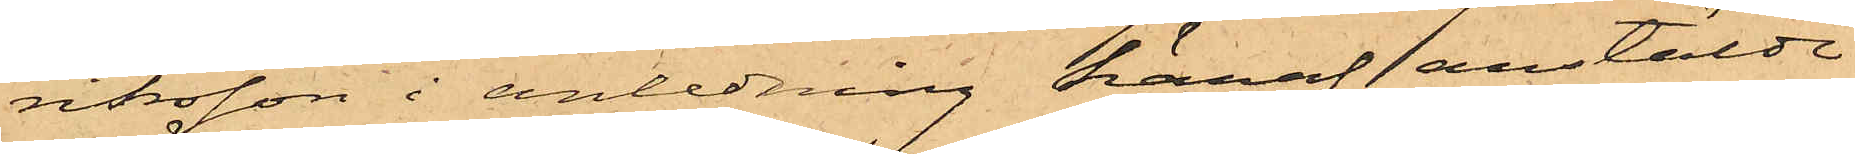riksson i anledning häraf anstälde
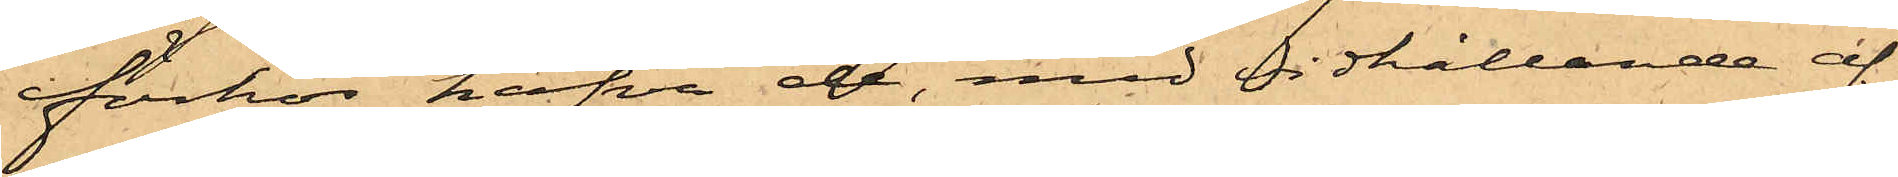förhör hafva de, med vidhållande af
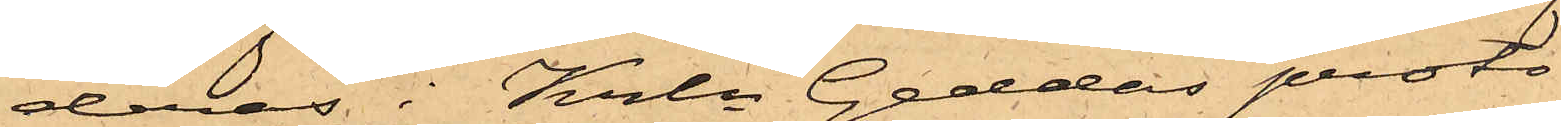deras i Krln Geddas proto¬
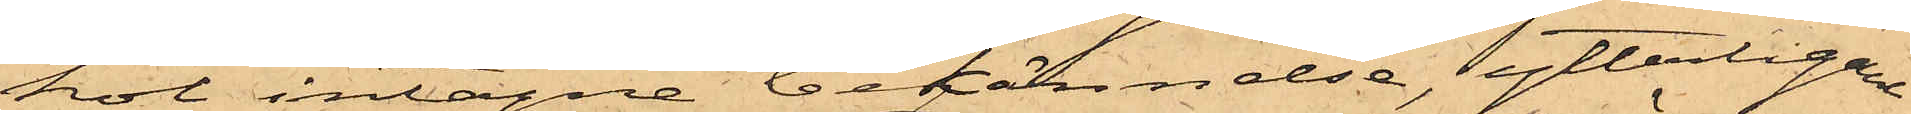kol intagne bekännelse, ytterligare
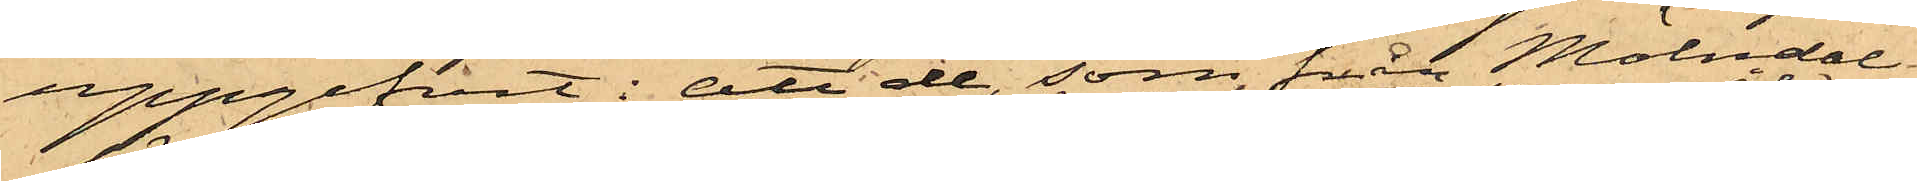uppgifvit: att de, som från Mölndal
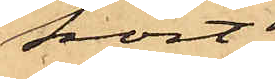kört
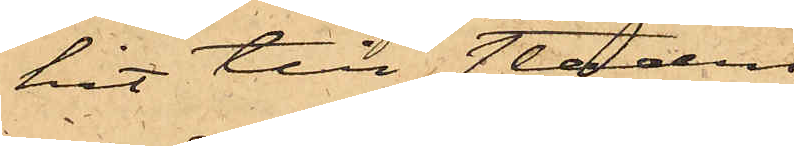hit till staden
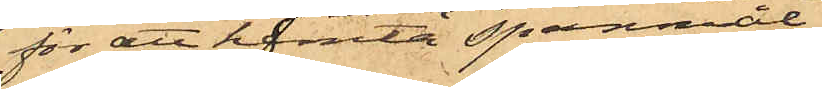för att hemta spannmål
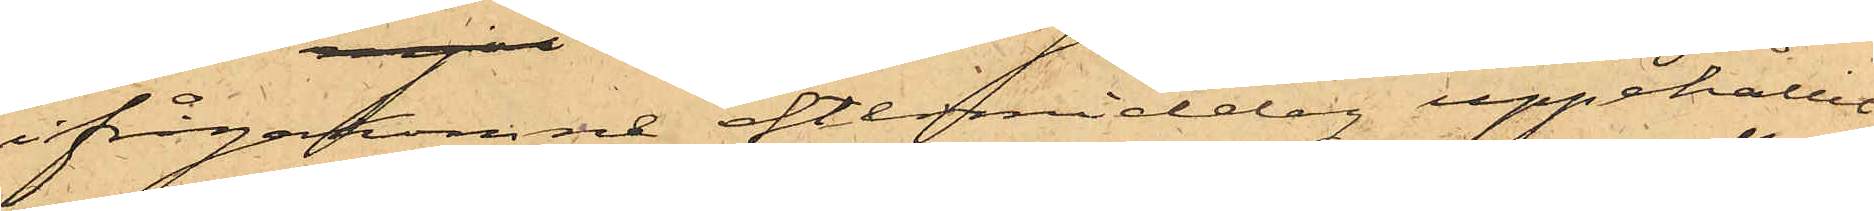ifrågakomne eftermiddag uppehållit
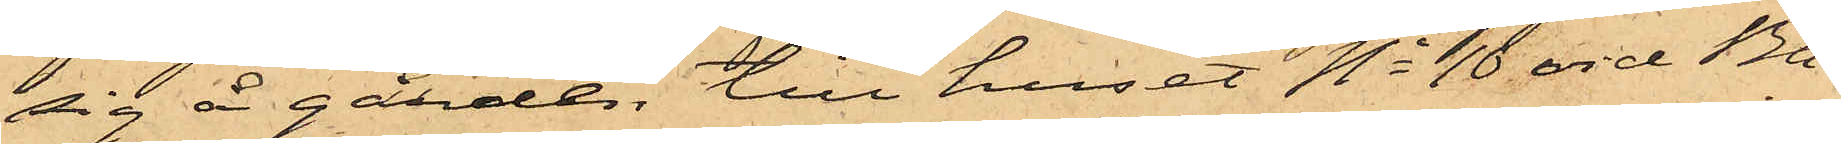sig å gården till huset No 10 vid Ba¬
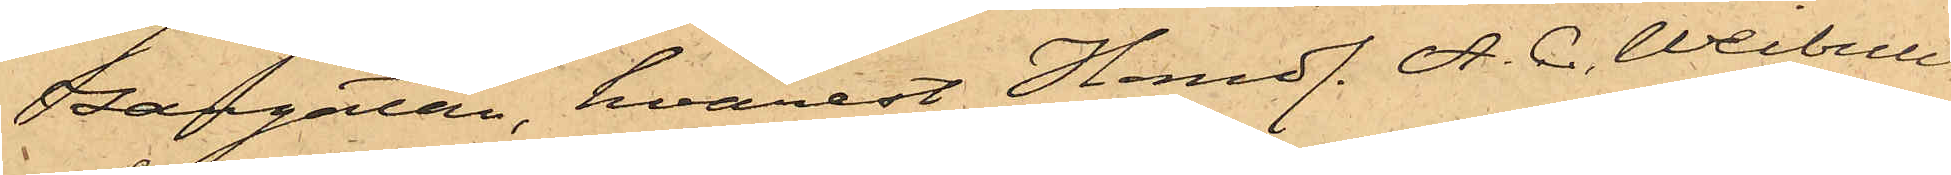zargatan, hvarest Handl. A. C. Weibull
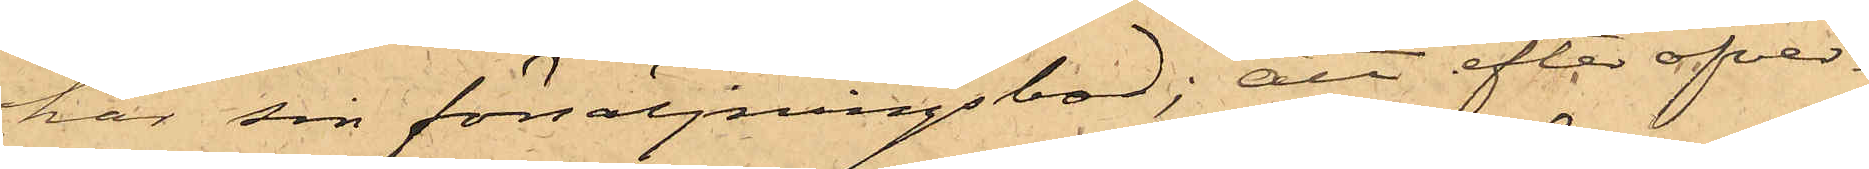har sin försäljningsbod; att efter öfver¬
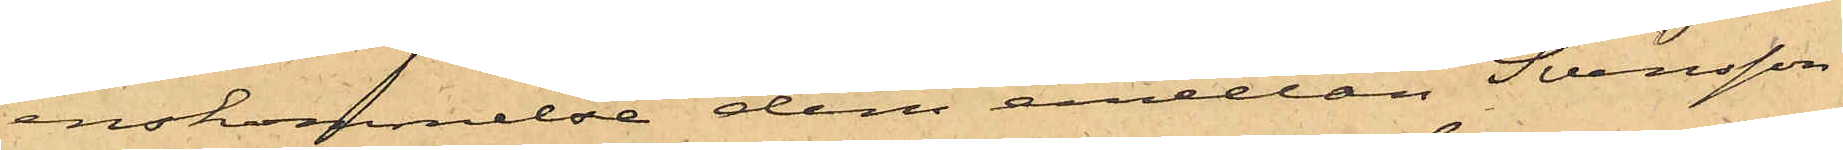enskommelse dem emellan Svensson
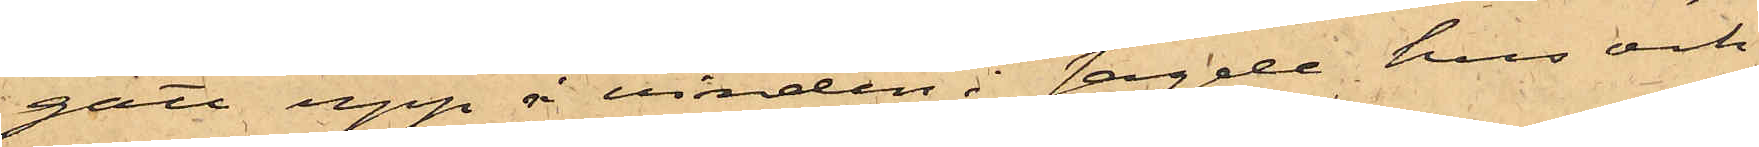gått upp å vinden i sagde hus och
